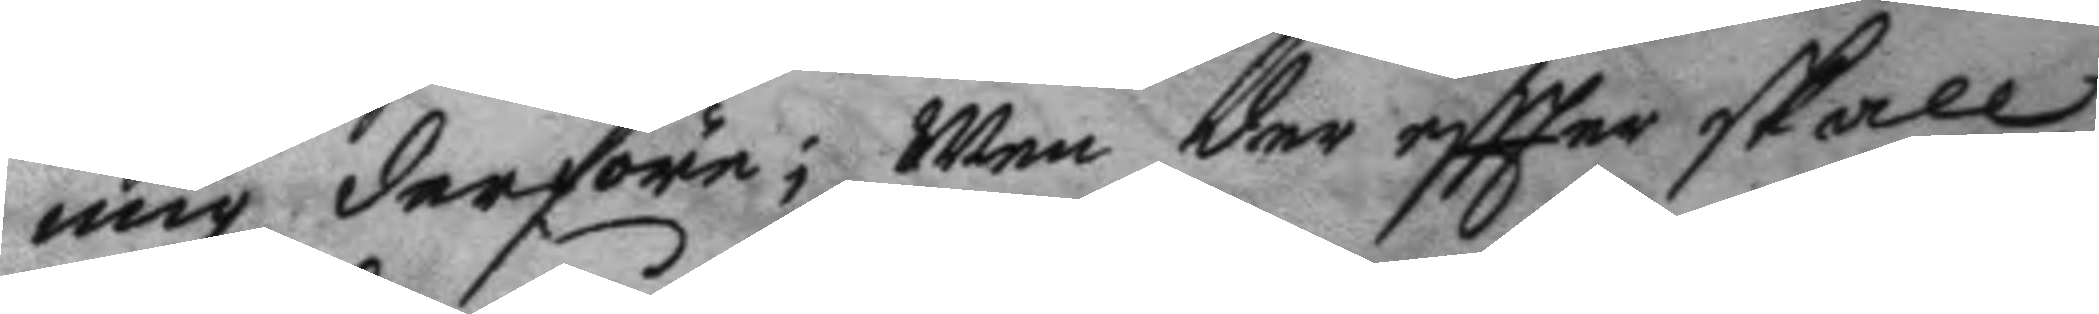mig derföre; Men der eftter skall
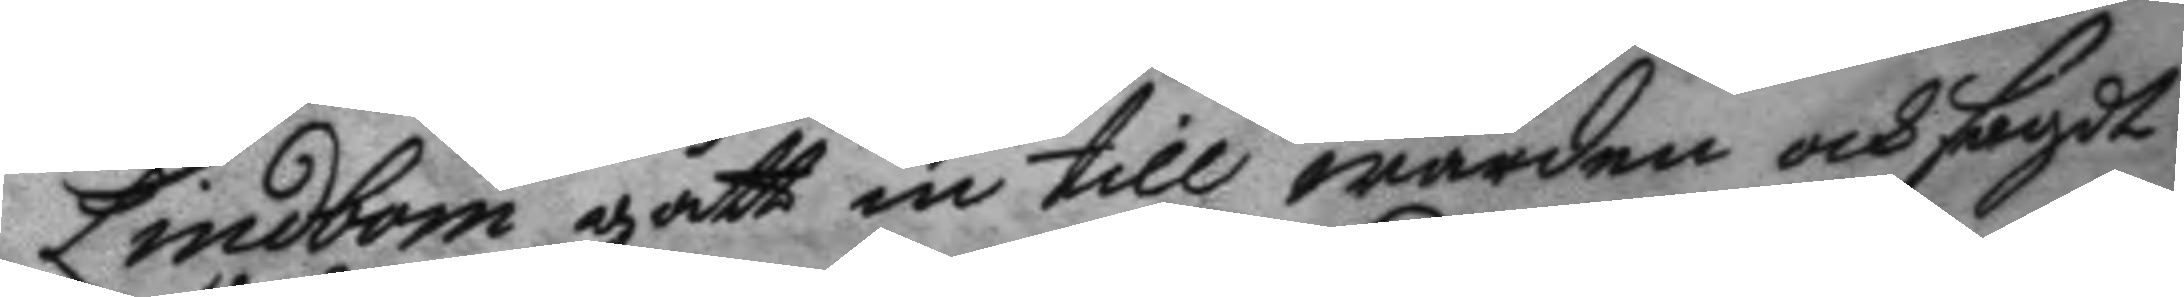Lindbom gått in till warden och sagdt
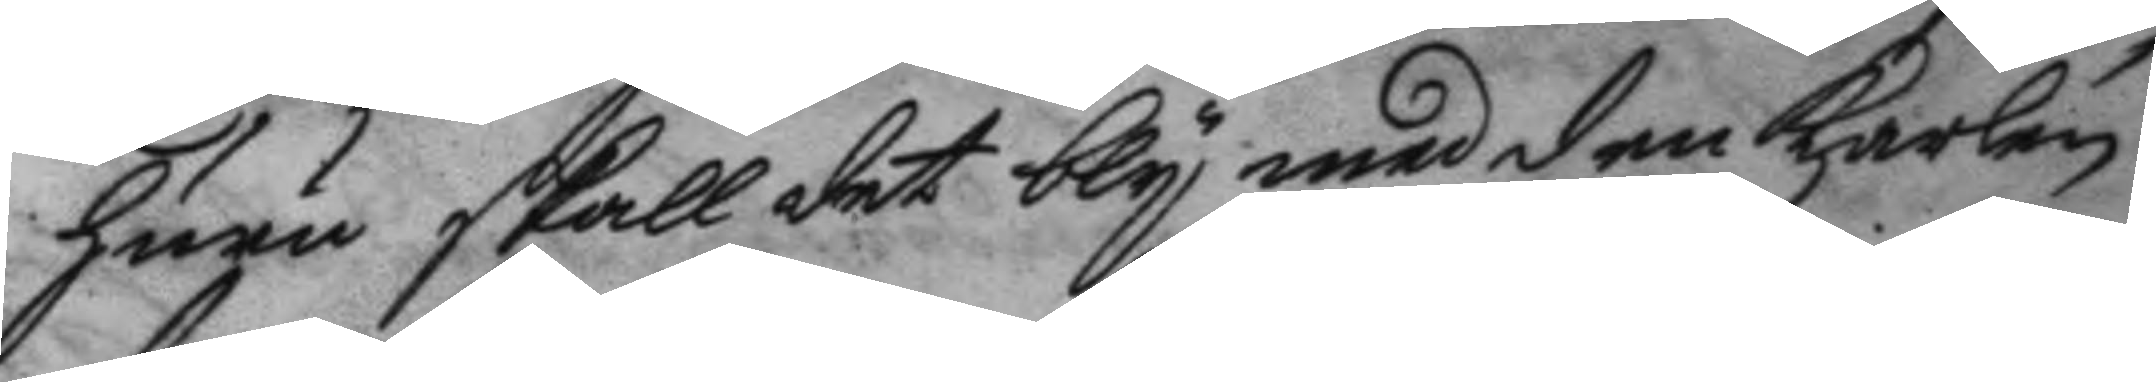huru skall det bly med den karlen
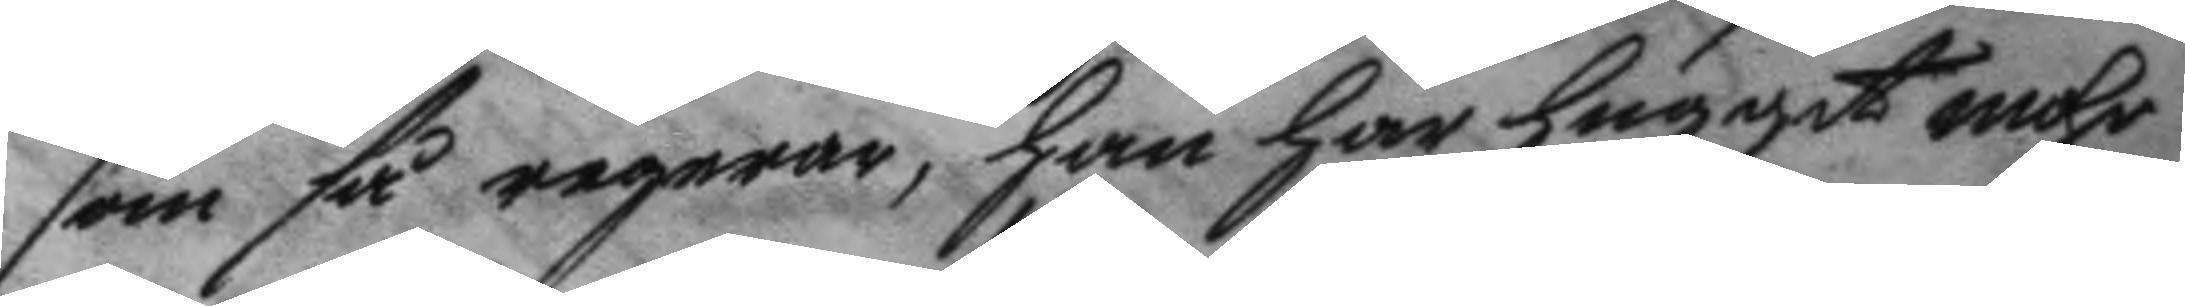som så regerar, han har huggit mohr
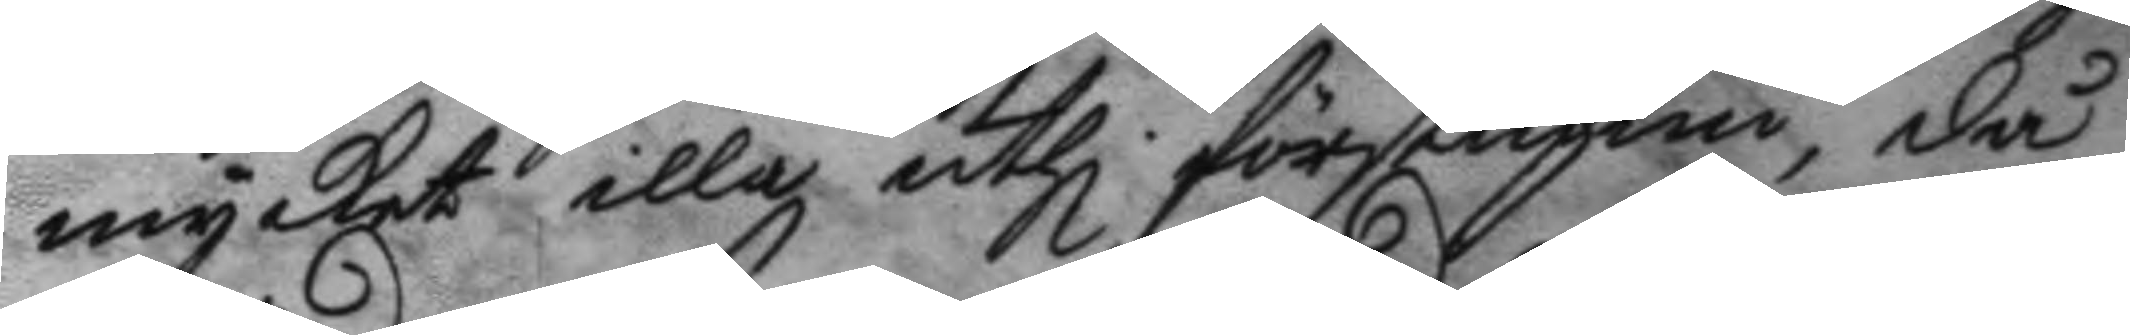mycket illa uthi förstugun, då
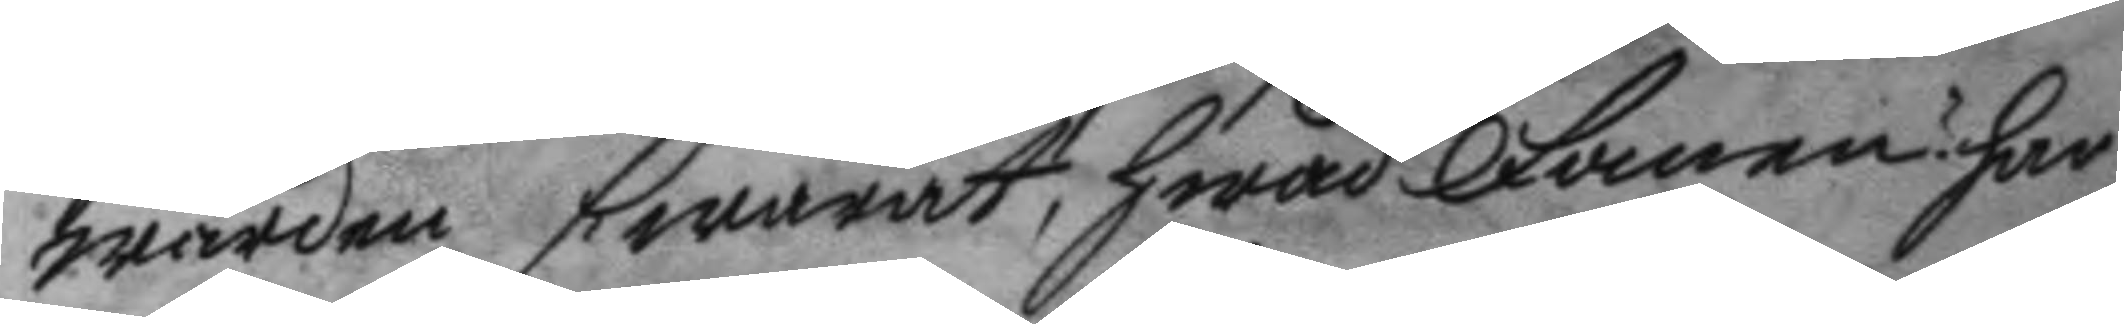wärden swarat; hwad Fanen? har
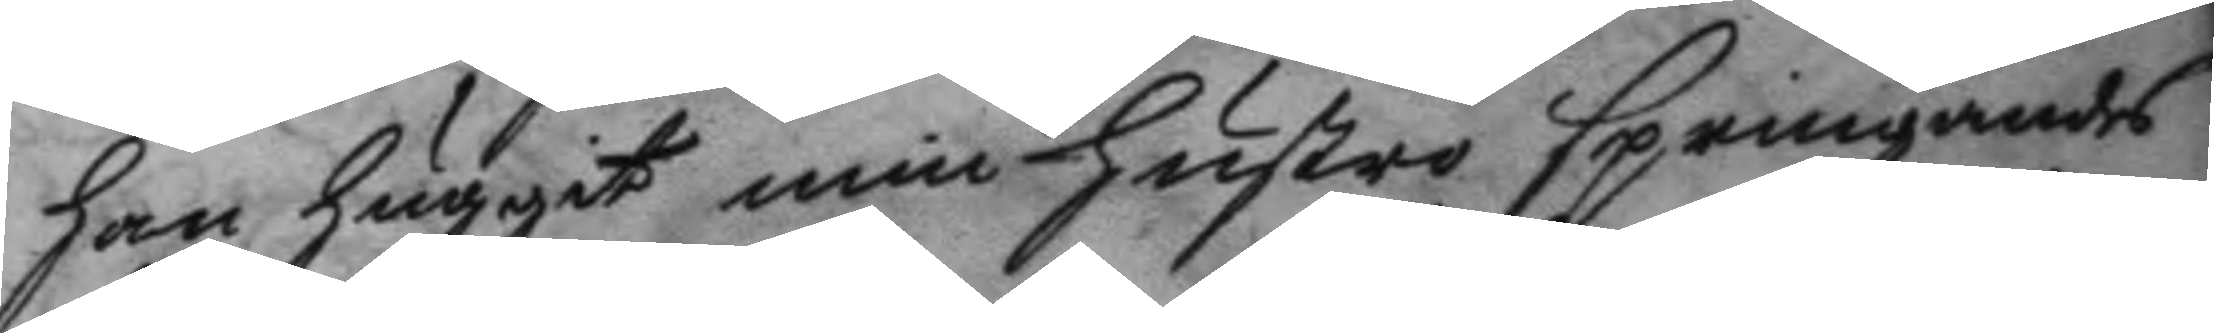han huggit min hustri springandes
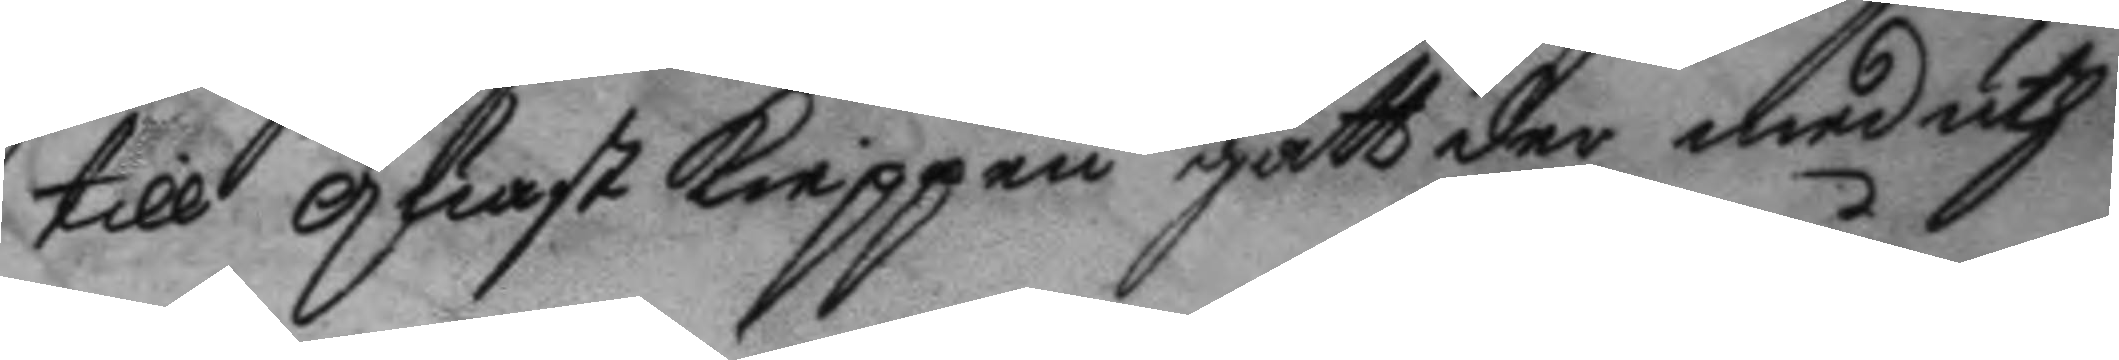till quast kieppen gått der med uth
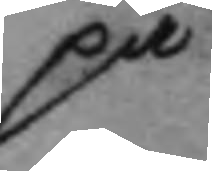på
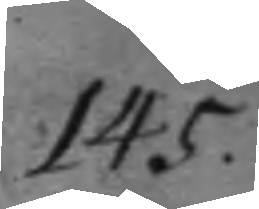145.
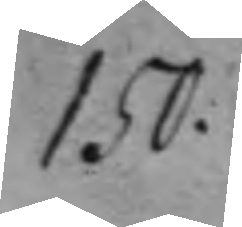150.
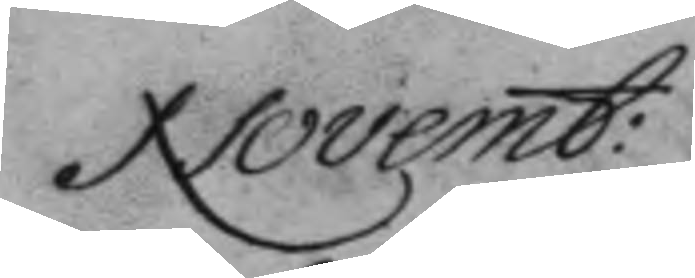Novemb:
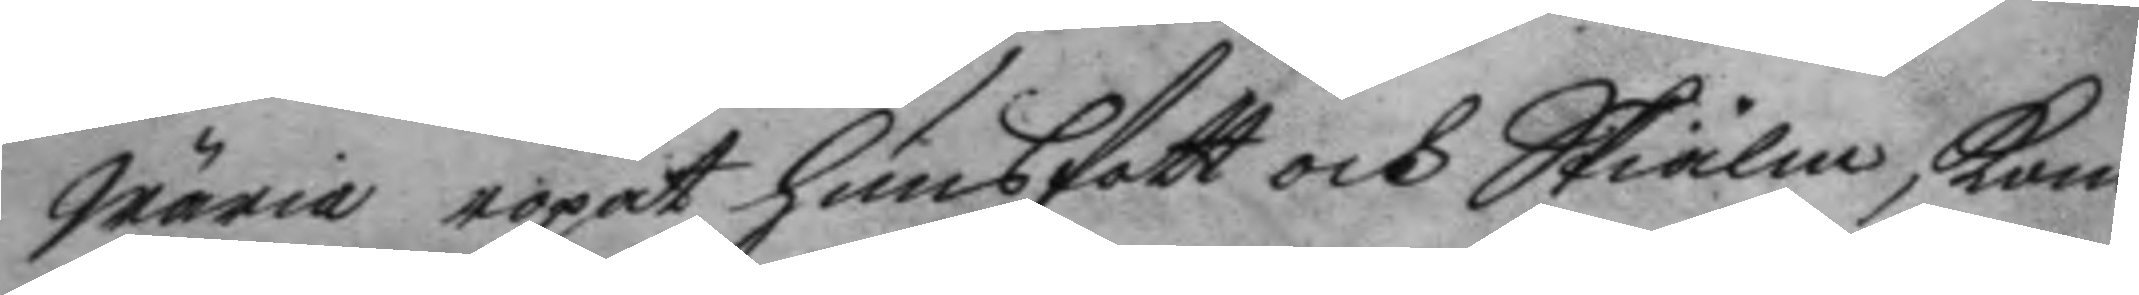wäria ropat hunsfott och Skiälm, kom
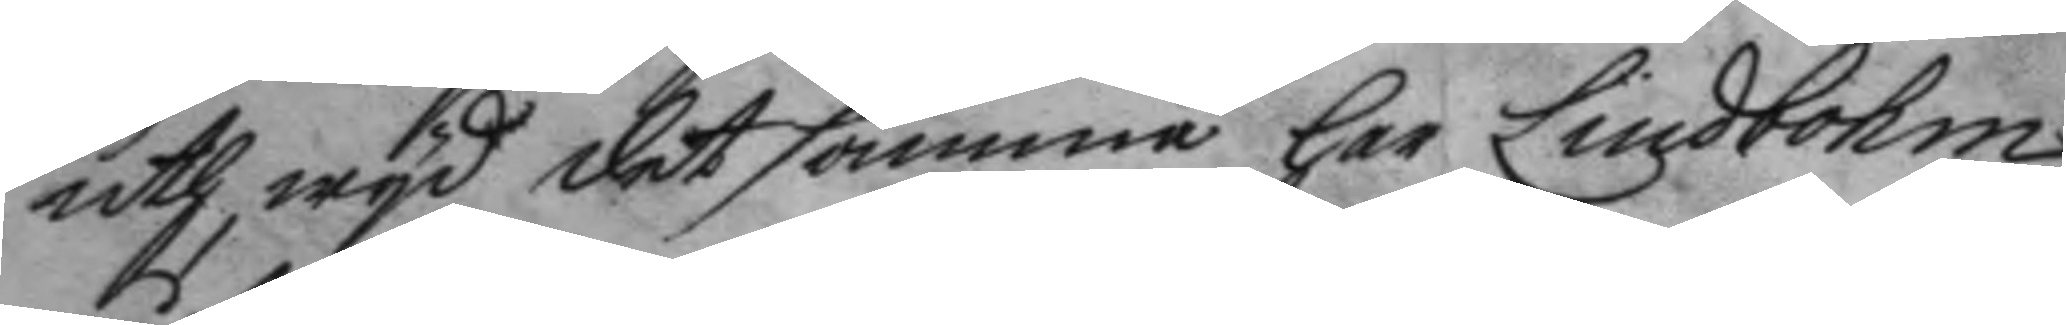uth wyd det samma har Lindbohm
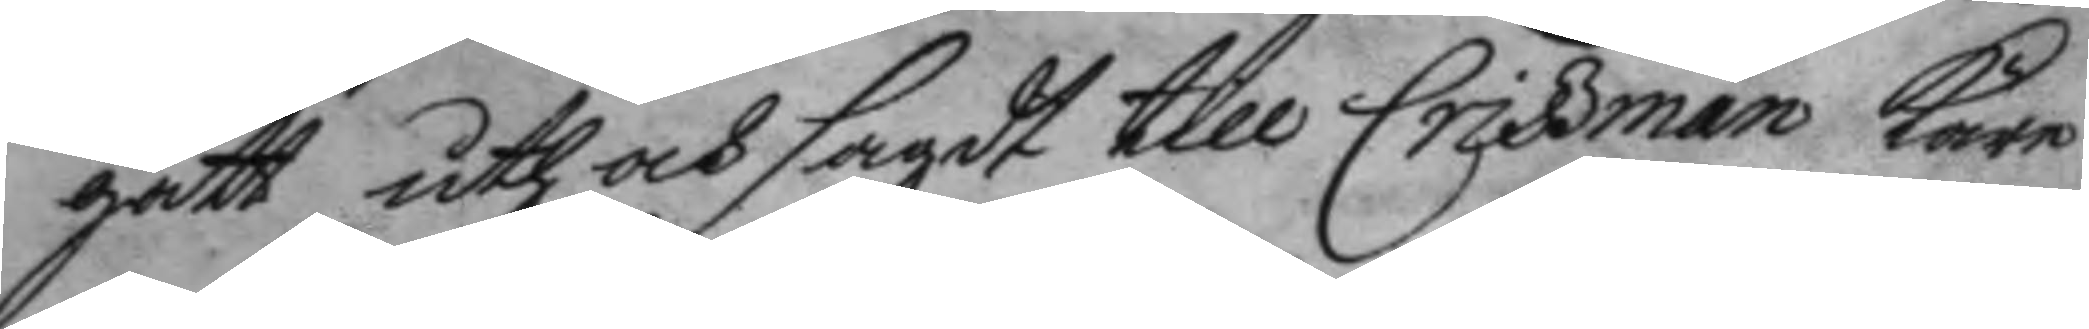gått uth och sagdt till Criszman käre
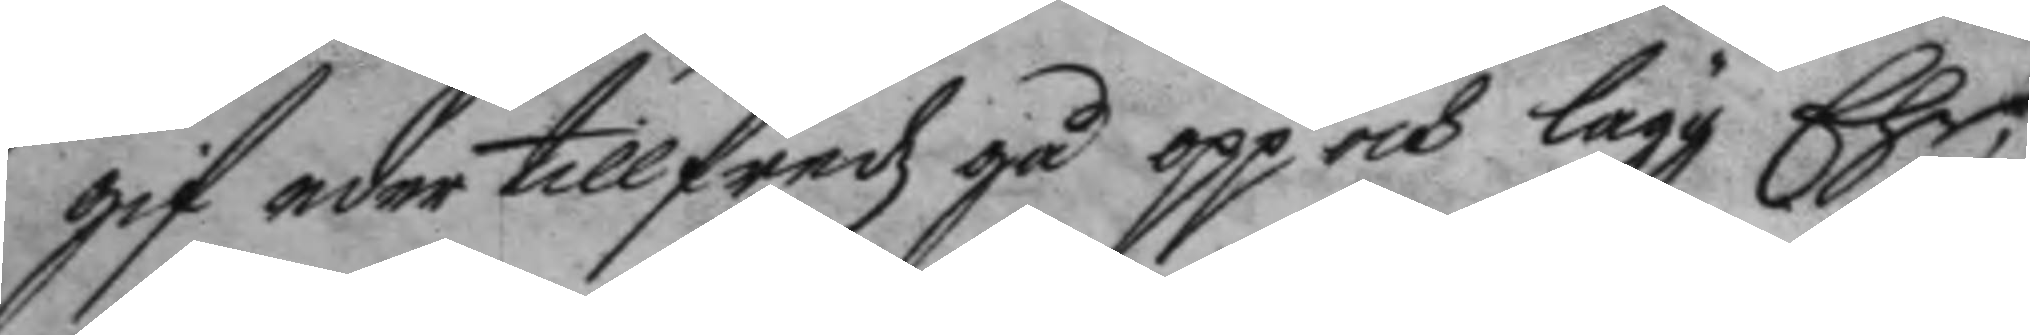gif eder tillfredz gå opp och lägg Ehr;
